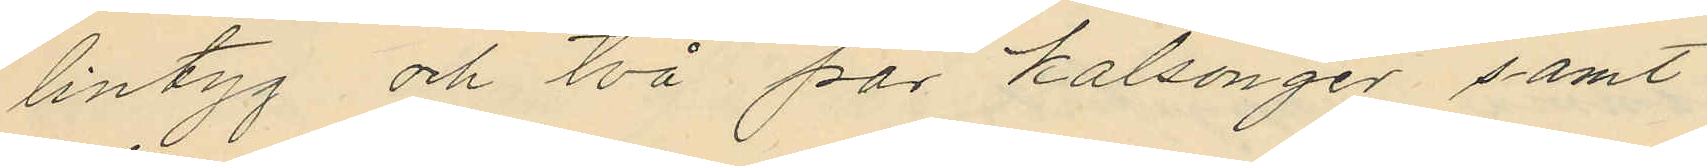lintyg och två par kalsonger samt
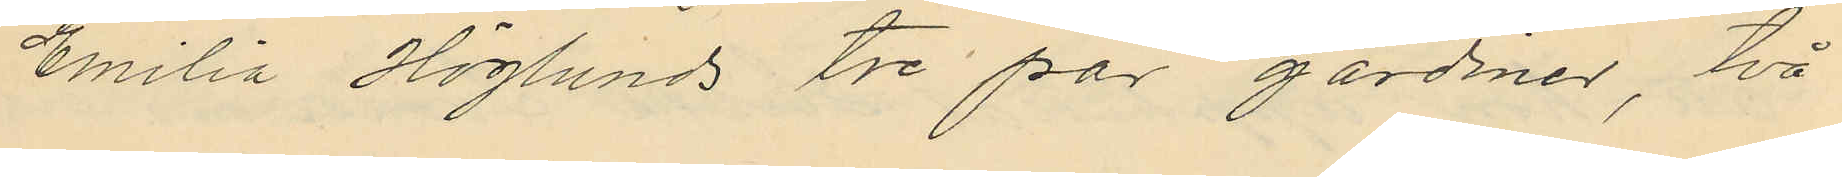Emilia Höglunds tre par gardiner, två
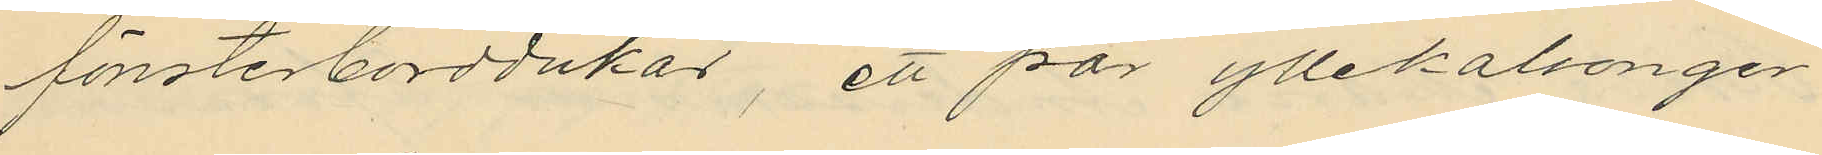fönsterborddukar, ett par yllekalsonger
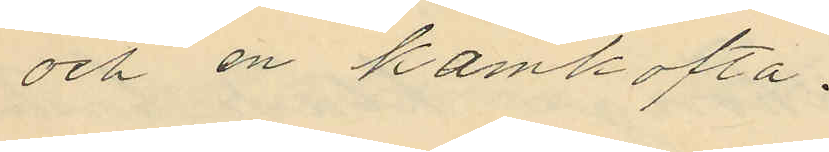och en kamkofta.
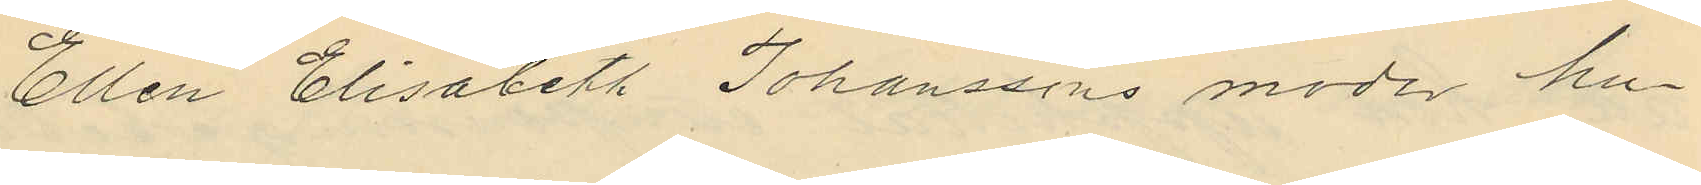Ellen Elisabeth Johanssons moder hu¬
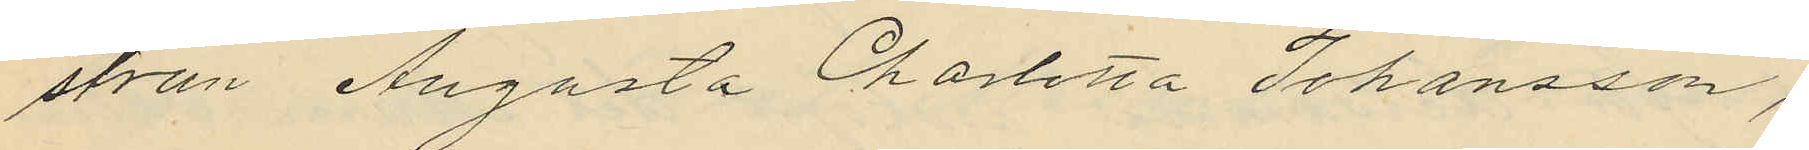strun Augusta Charlotta Johansson,
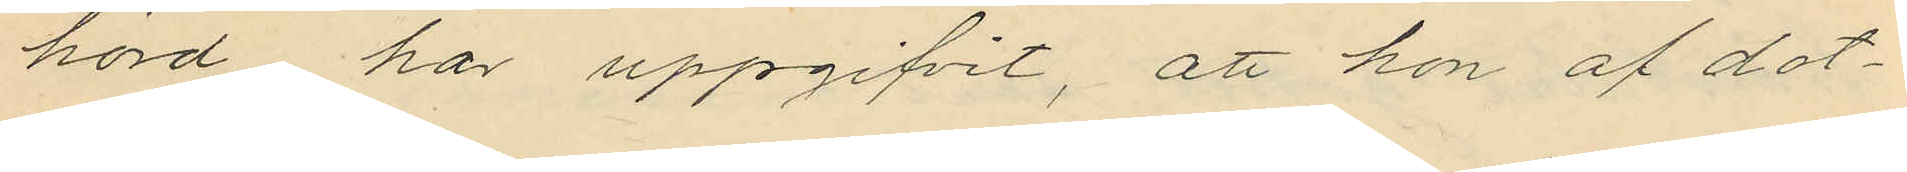hörd har uppgifvit, att hon af dot¬
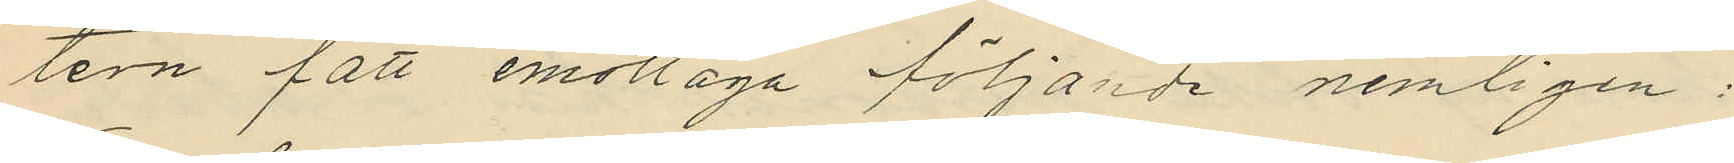ten fått emottaga följande nemligen:
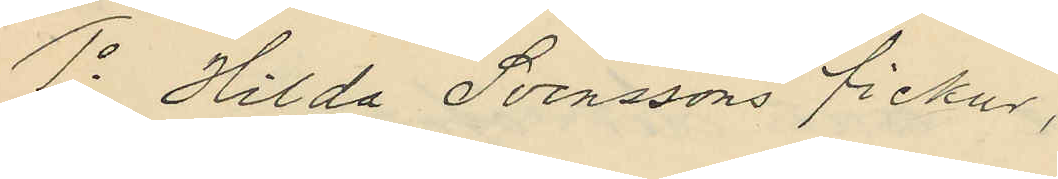1o Hilda Svenssons fickur,
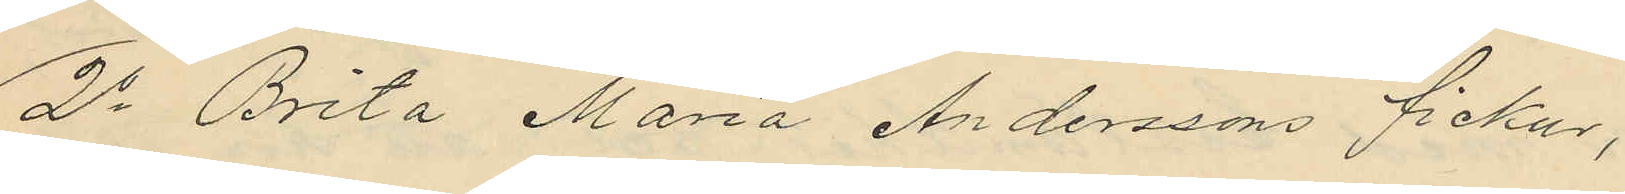2o Brita Maria Anderssons fickur,
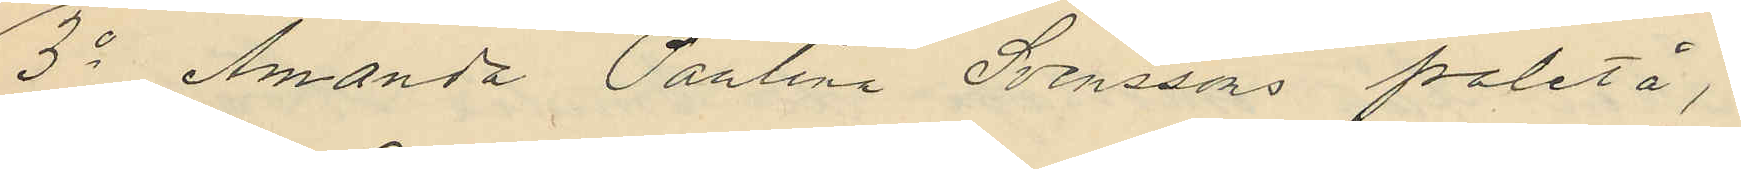3o Amanda Paulina Svenssons paletå,
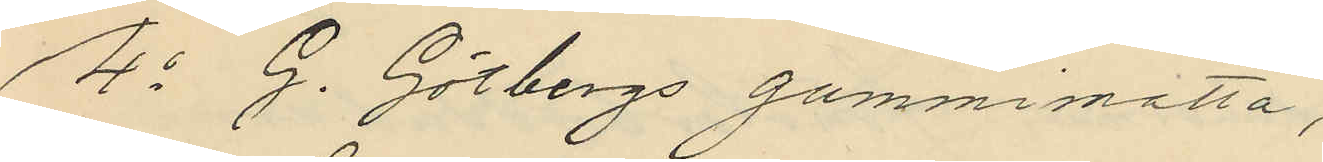4o G. Götbergs gummimatta,
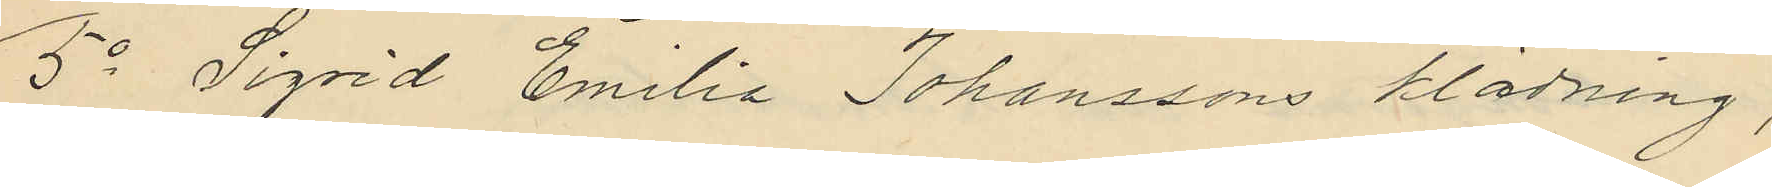5o Sigrid Emilia Johanssons klädning,
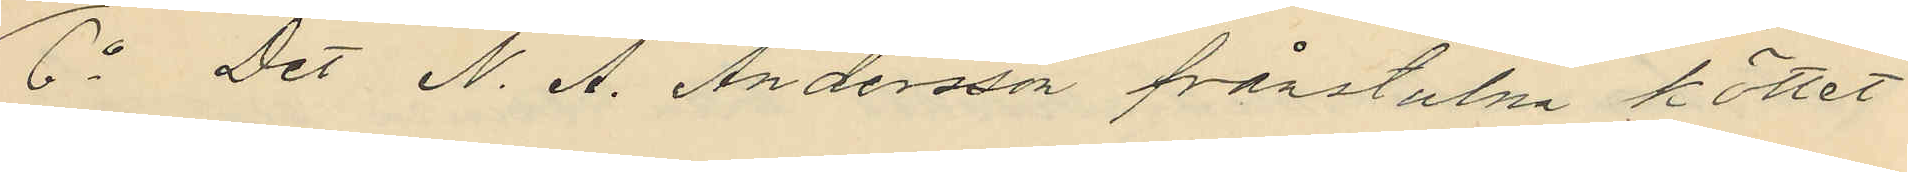6o Det N. A. Andersson frånstulna köttet
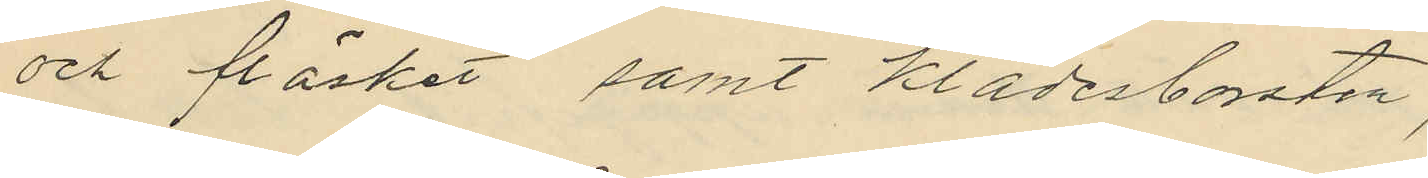och fläsket samt klädesborsten,
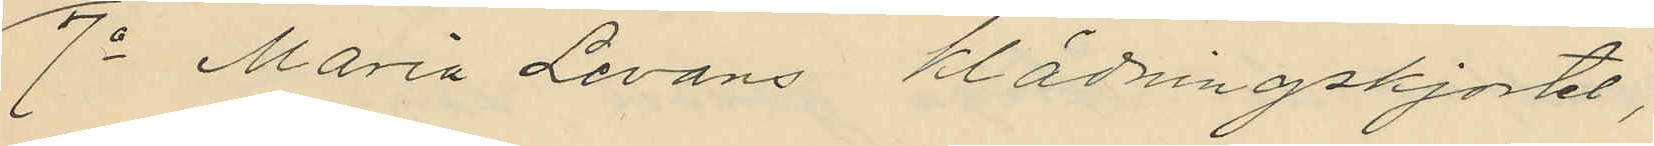7o Maria Levans klädningskjortel,
